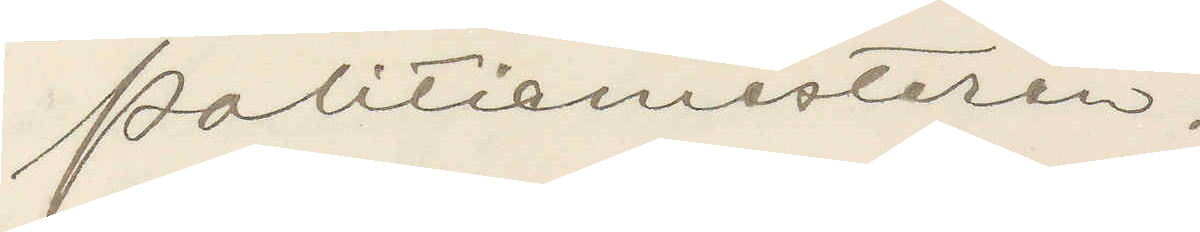Politimesteren.
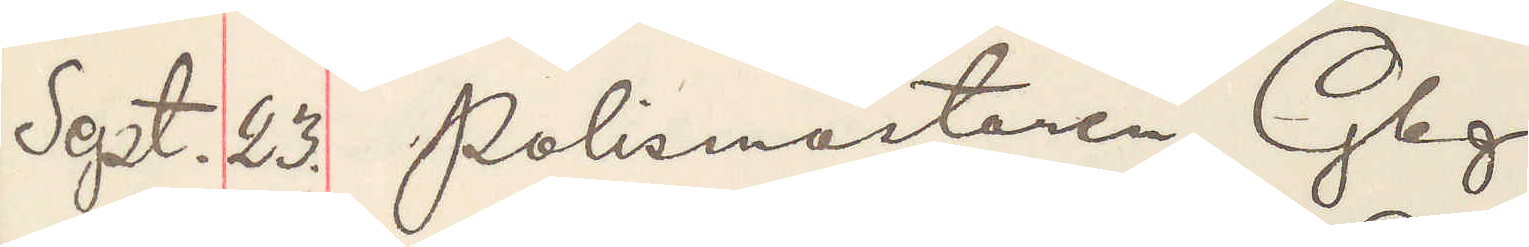Sept. 23. Polismästaren Gbg.
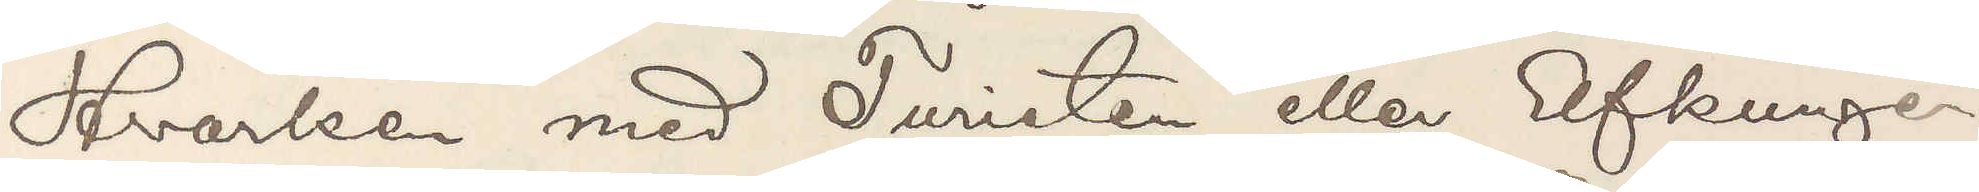Hvarken med Turisten eller Elfkungen
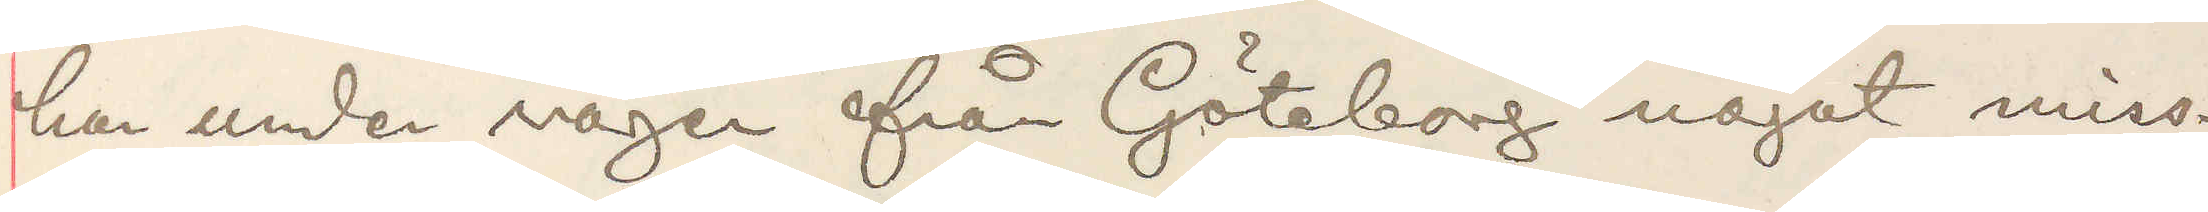har under vägen från Göteborg något miss¬
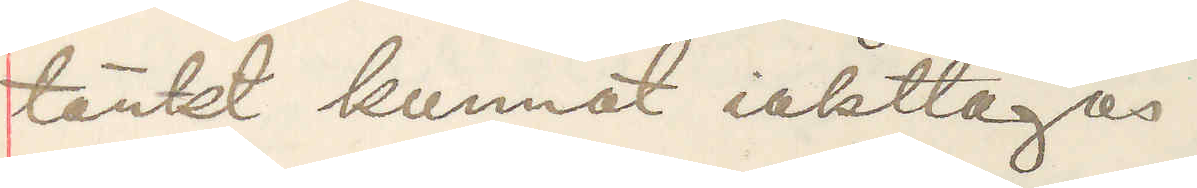tänkt kunnat iakttagas.
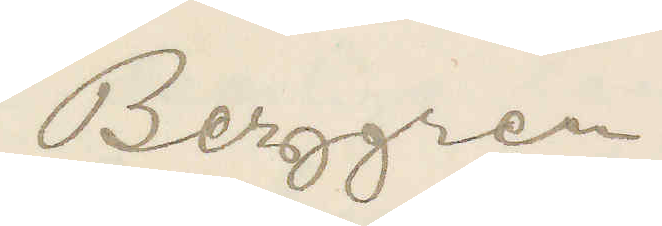Berggren.
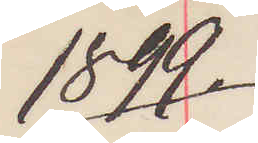1899.
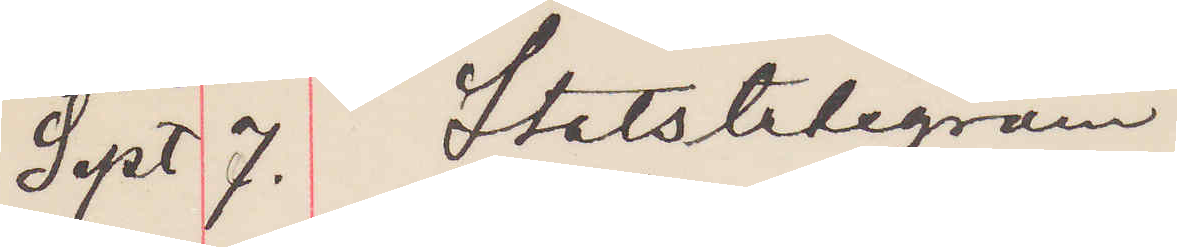Sept 7. Statstelegram.
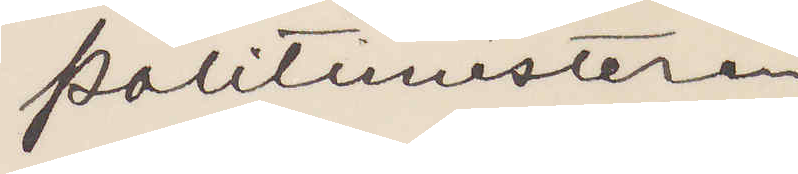Politimesteren,
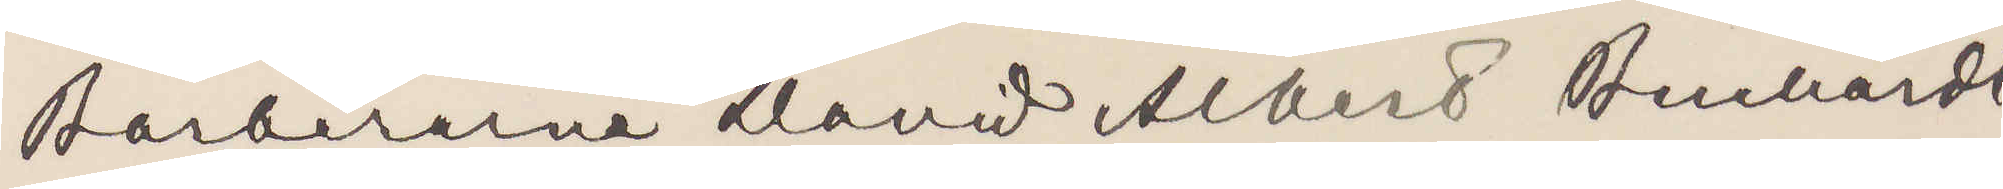Barberene David Albert Bernhardt
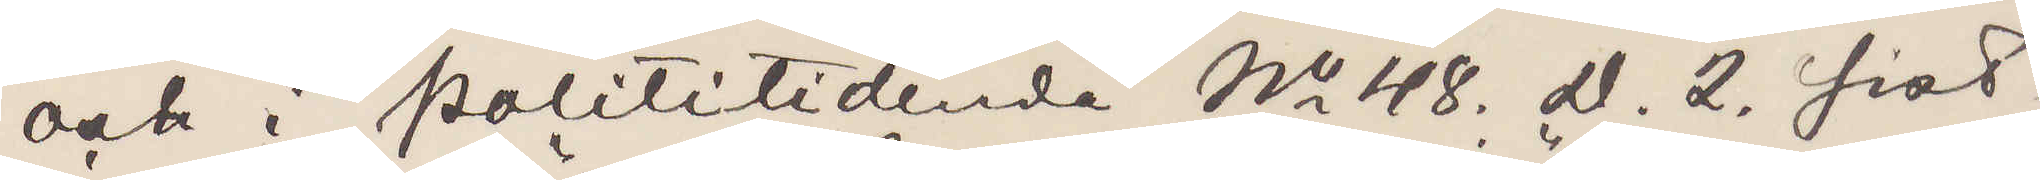och i Polititidende No 48. D. 2. sist¬
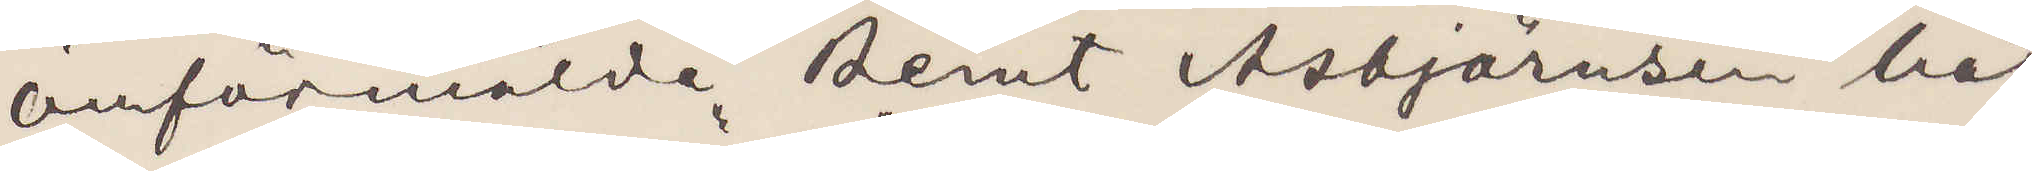omförmälde Bernt Asbjörnsen här
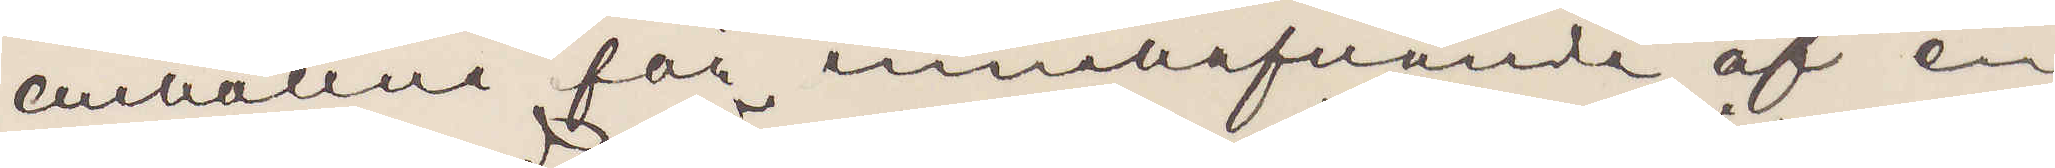anhållne för innehafvande af en
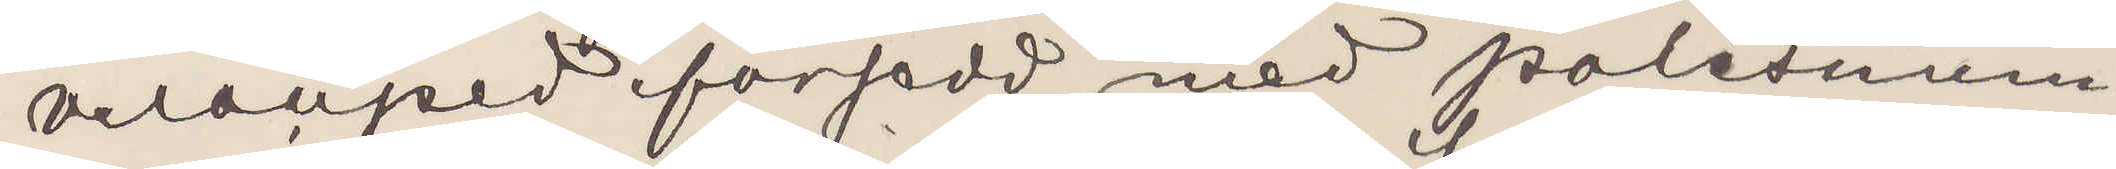velociped försedd med Polisnum¬
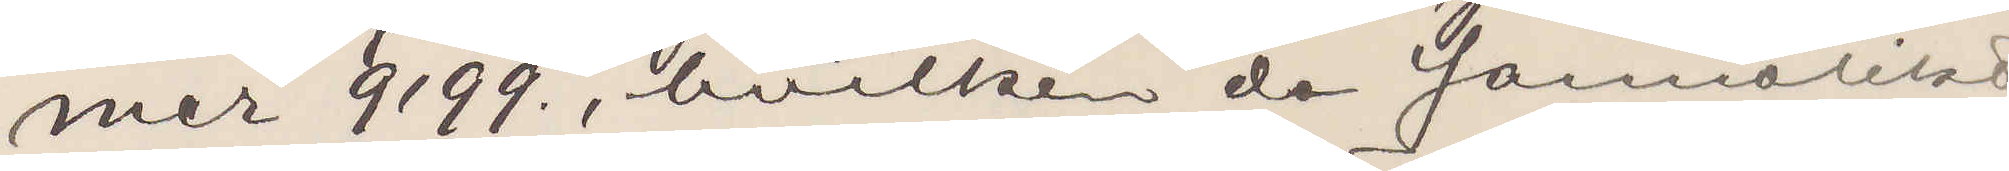mer 9199., hvilken de sannolikt
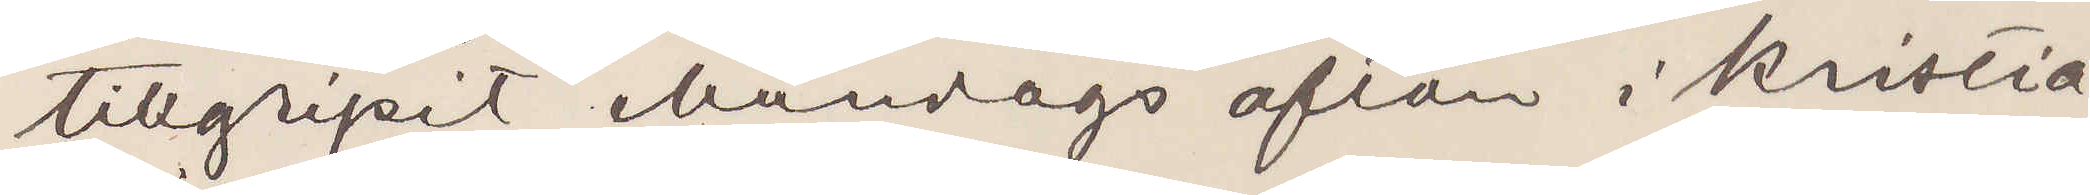tillgripit Måndags afton i Kristia¬
